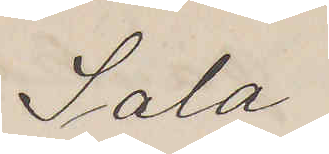Sala
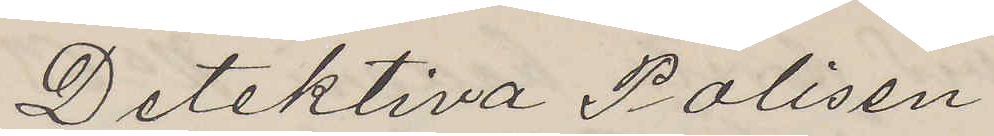Detektiva Polisen
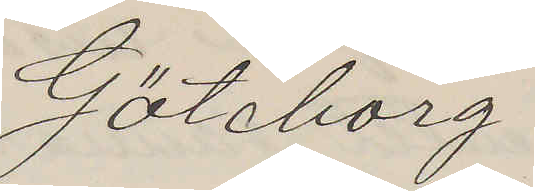Göteborg
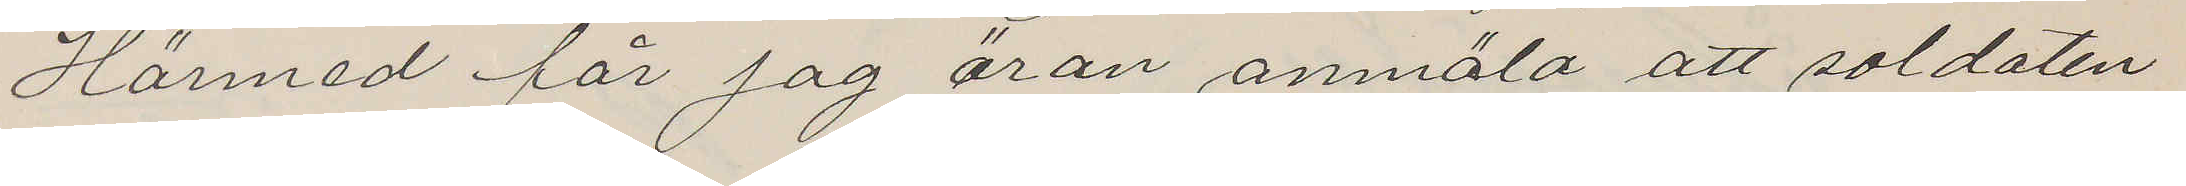Härmed får jag äran anmäla att soldaten
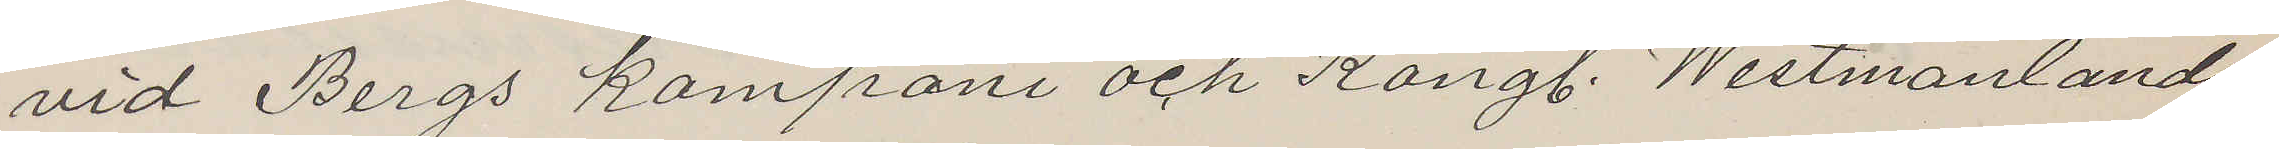vid Bergs kompani och Kongl. Westmanlands
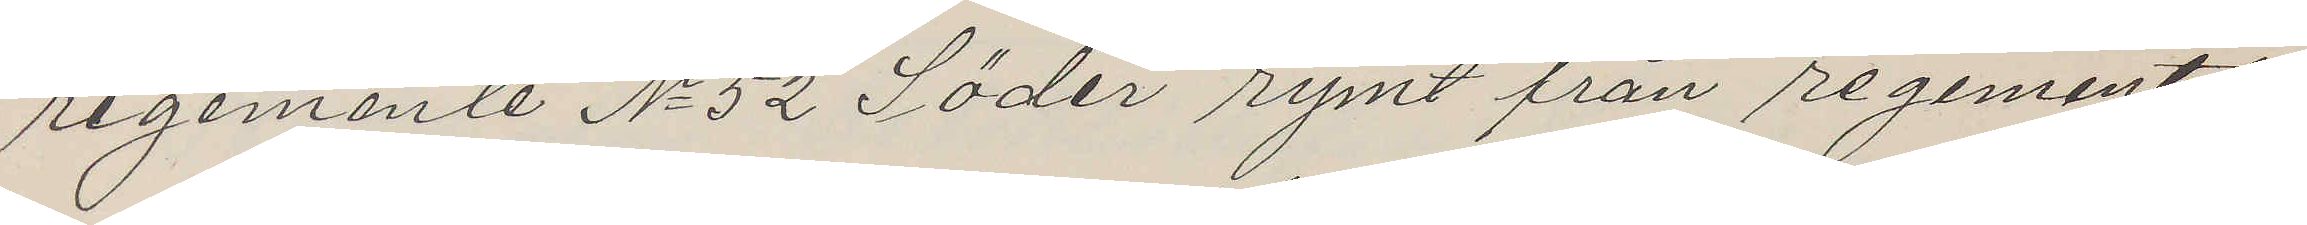regemente No 52 Söder rymt från regementet
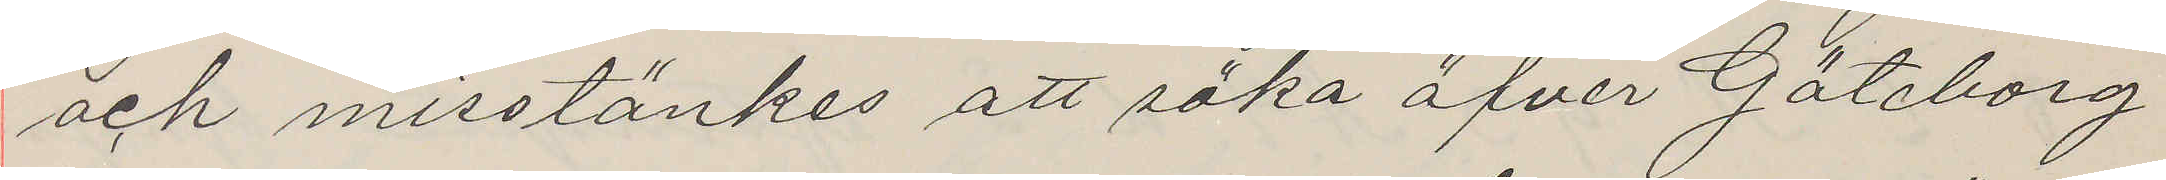och misstänkes att söka öfver Göteborg
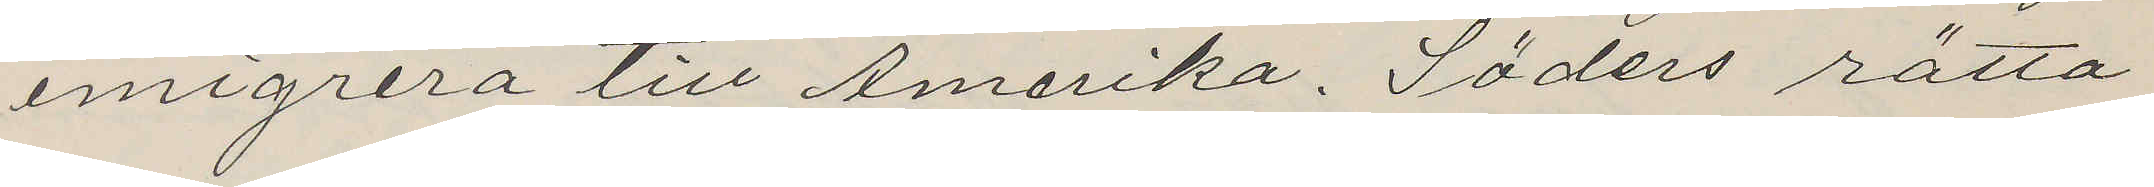emigrera till Amerika. Söders rätta
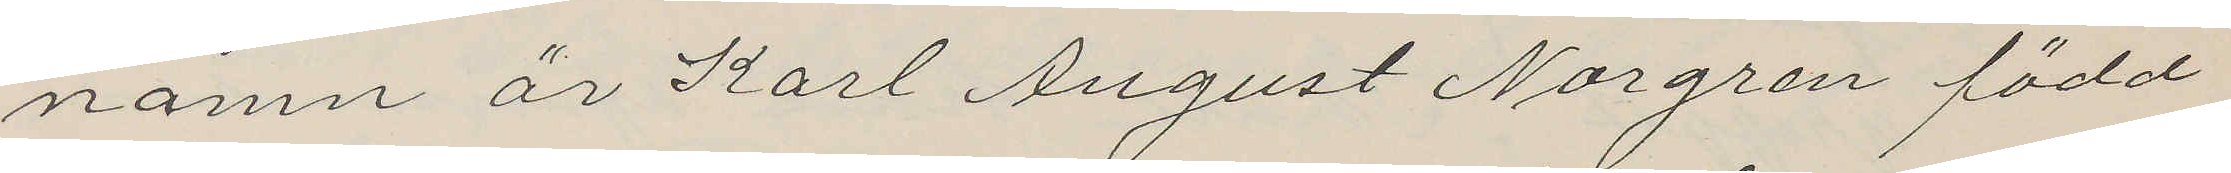namn är Karl August Norgren född
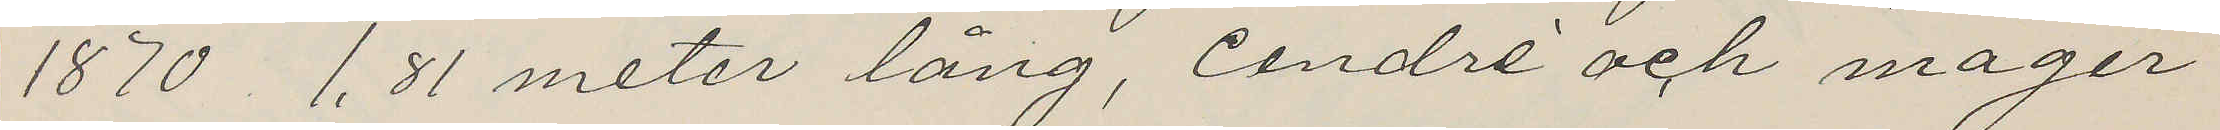1870 1,81 meter lång, Cendré och måger
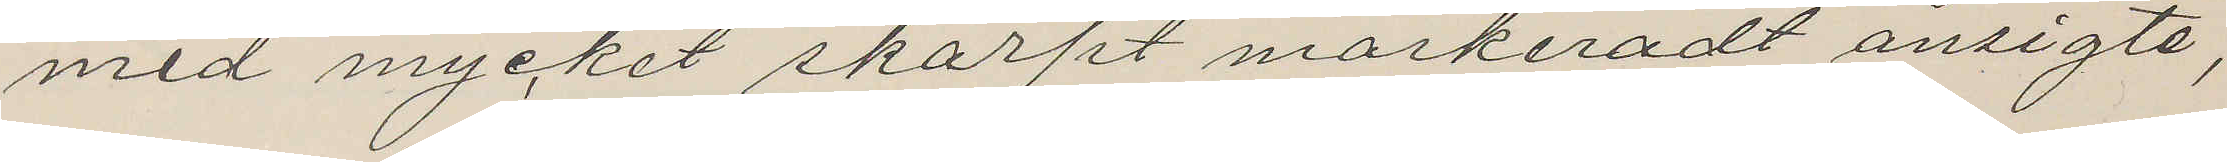med mycket skarpt markeradt ansigte,
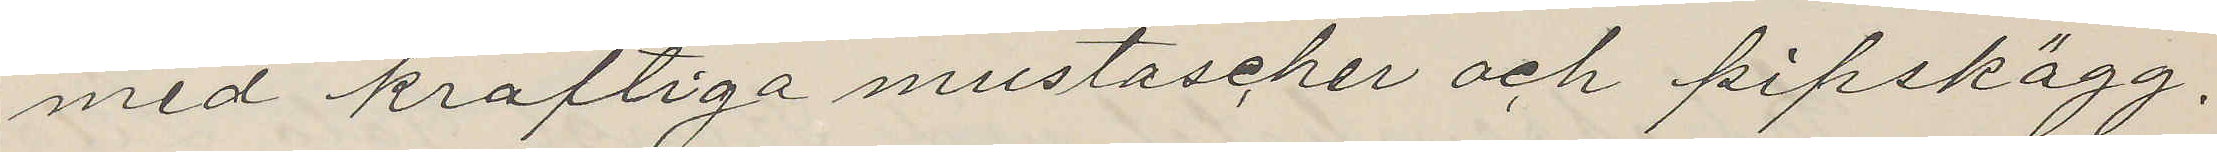med kraftiga mustascher och pipskägg.
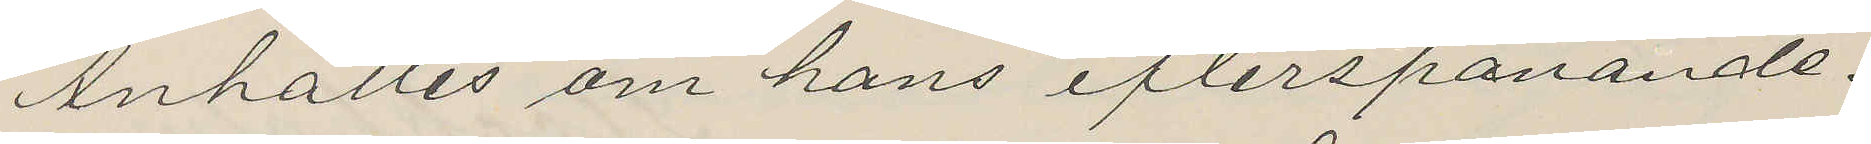Anhålles om hans efterspanande.
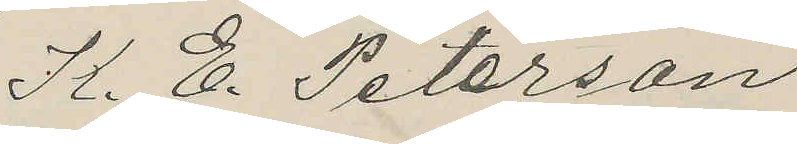K. E. Peterson
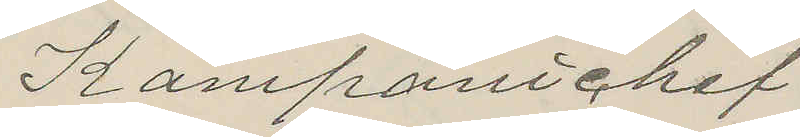Kompanichef
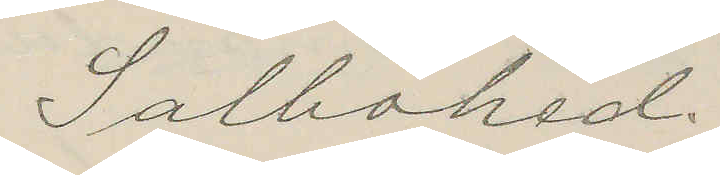Salbohed
